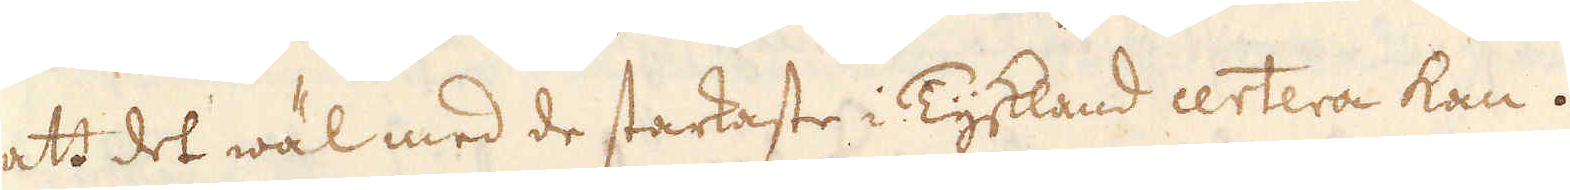att det wäl med de starkaste i Tyskland certera kan.
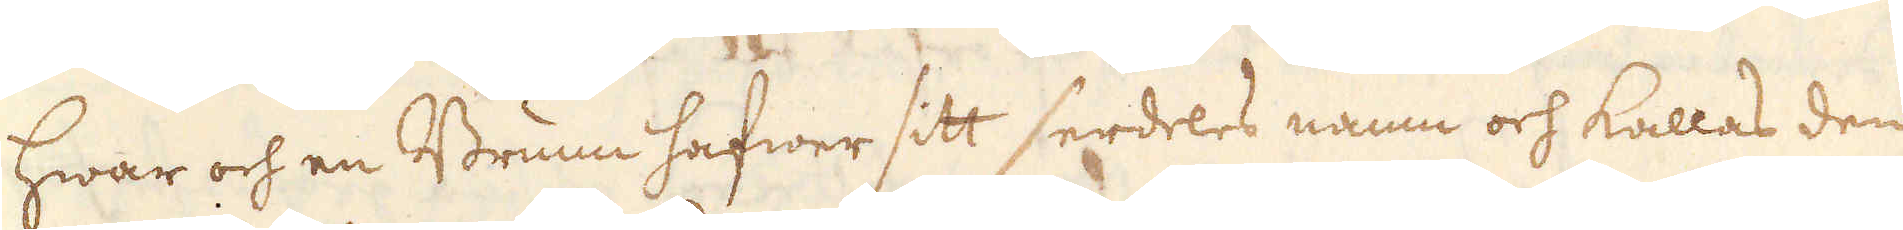Hwar och en Brunn hafwer sitt serdeles namn och kallas den
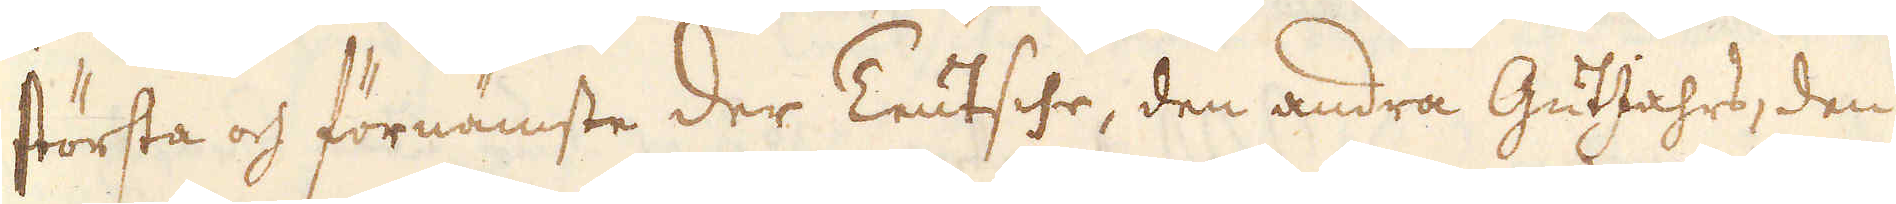största och förnämste der Teutsche, den andra GutJahrs, den
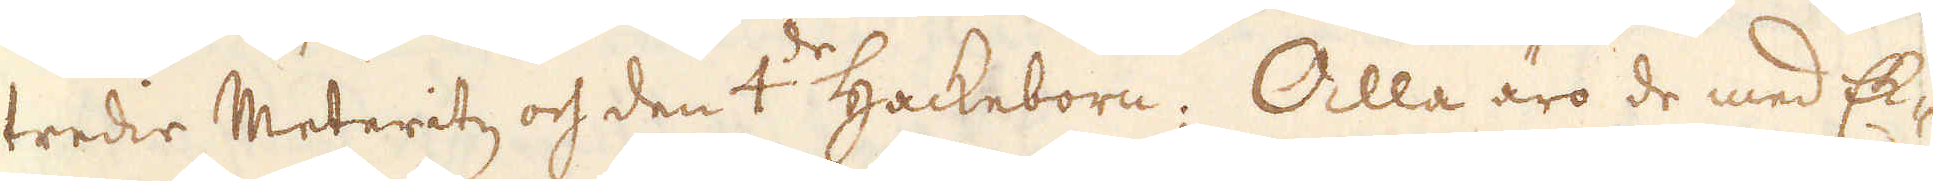tredie Meteritz och den 4:de Hackeborn; Alla äro de med Ek-
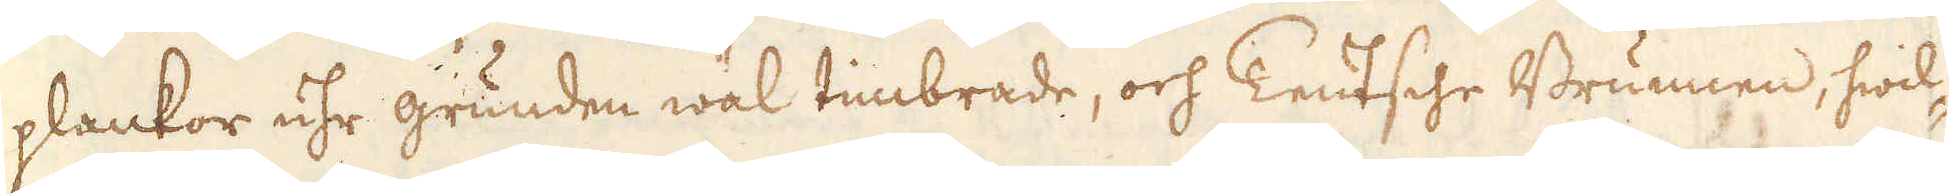plankor uhr grunden wäl timbrade, och Teutsche Brunnen, hwil-
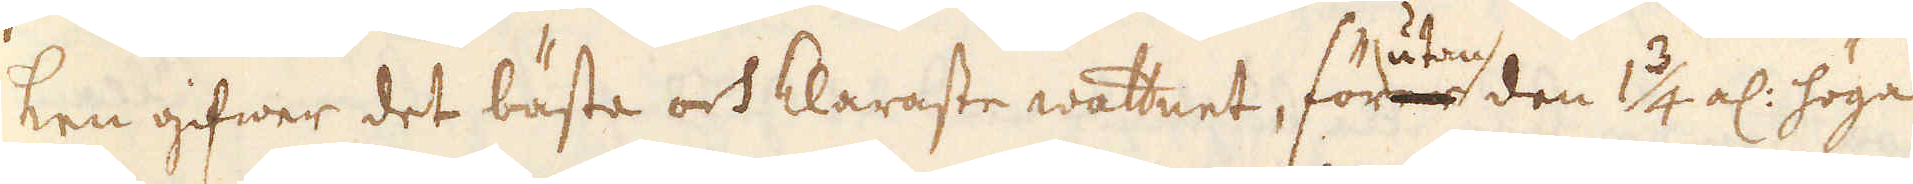ken gifwer det bästa och klaraste wattnet, för utan den 1 3/4 al: höga
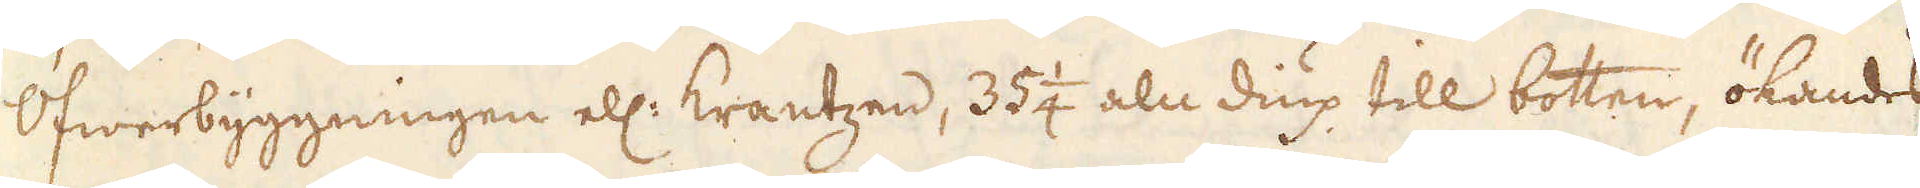Öfwerbyggningen ell: krantzen, 35 1/4 aln diup till botten, ökandes
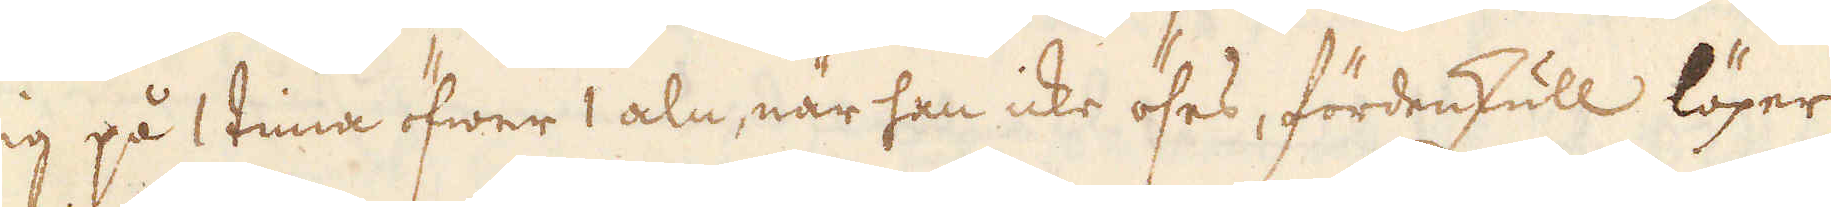sig på 1 tima öfwer 1 aln, när han icke öses, fördenskull löper
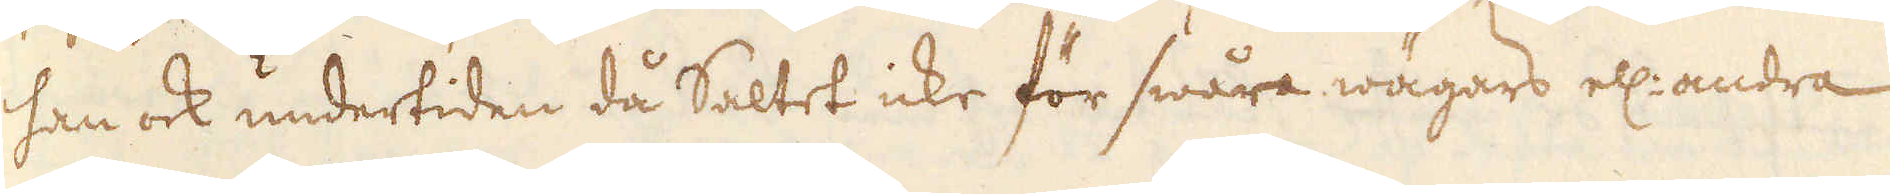han ock undertiden då Saltet icke för swåra wägars ell: andra
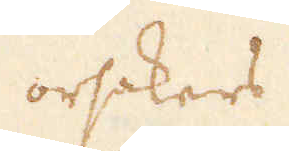orsakers
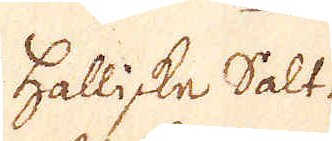Halliske Salt-
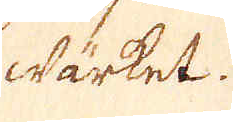wärket.
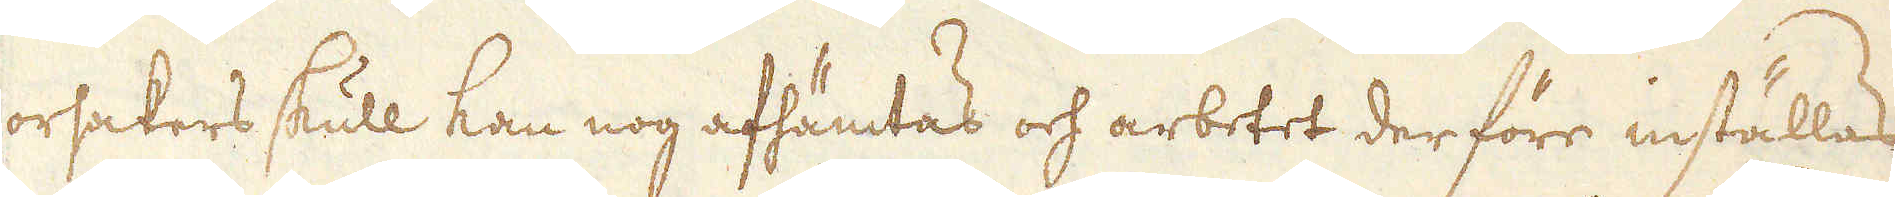orsakers skull kan nog afhämtas och arbetet der före inställas
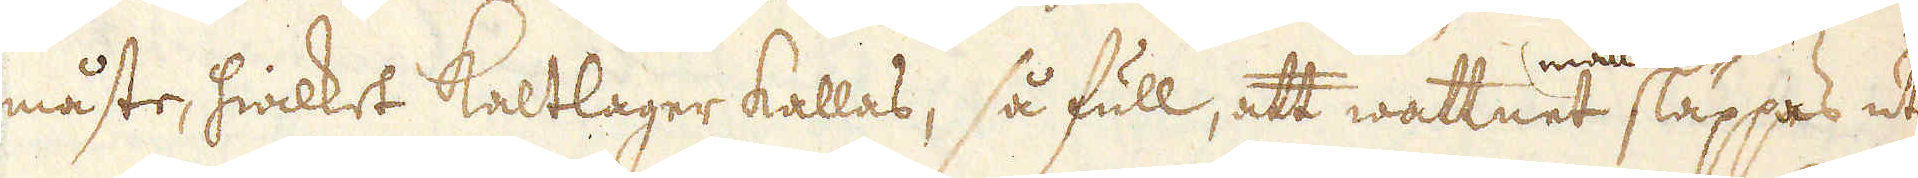måste, hwilket Kaltlager kallas, så full, att wattnet måtte släppas ut
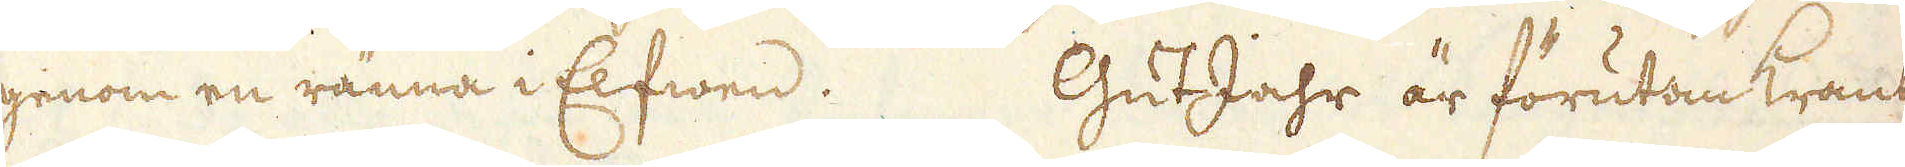genom en ränna i Elfwen. GutJahr är förutom Krant-
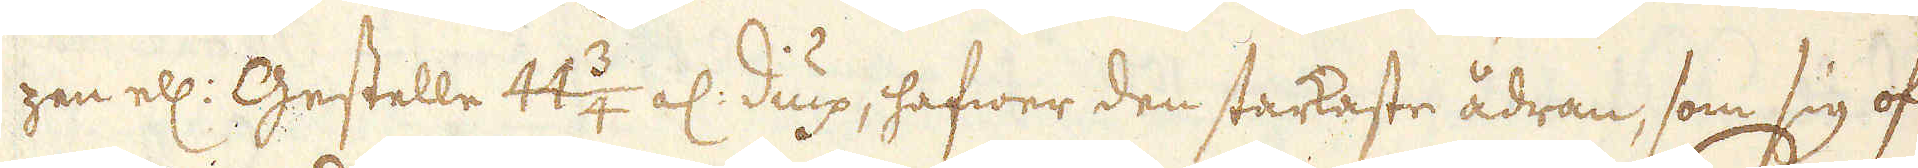zan ell: Gestelle 44 3/4 al: diup, hafwer den starkaste ådran, som sig of-
